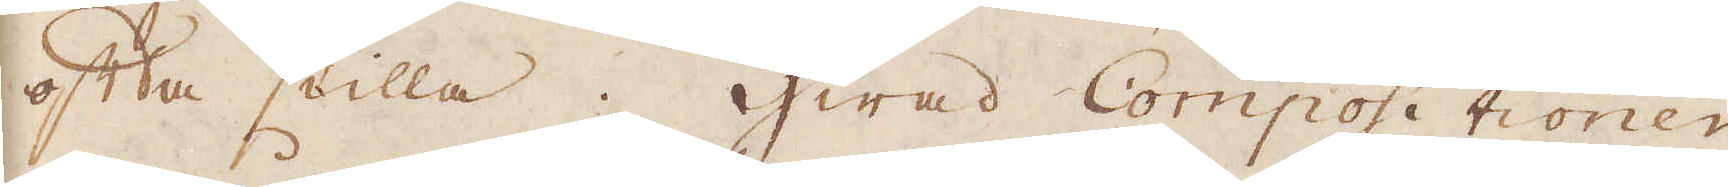ofta stilla. Hwad Compositionen
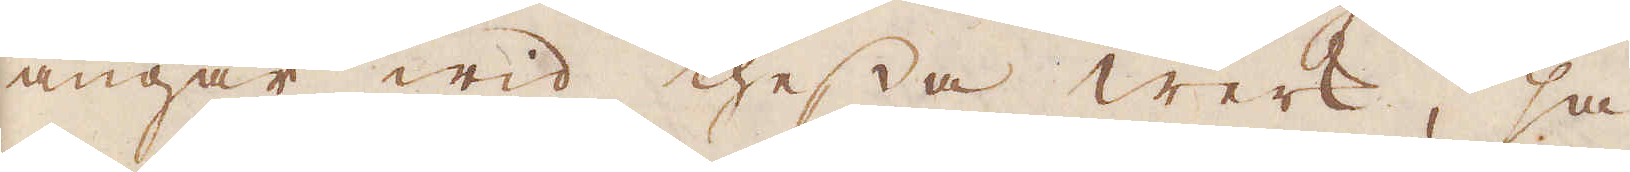angår wid thessa werk, så
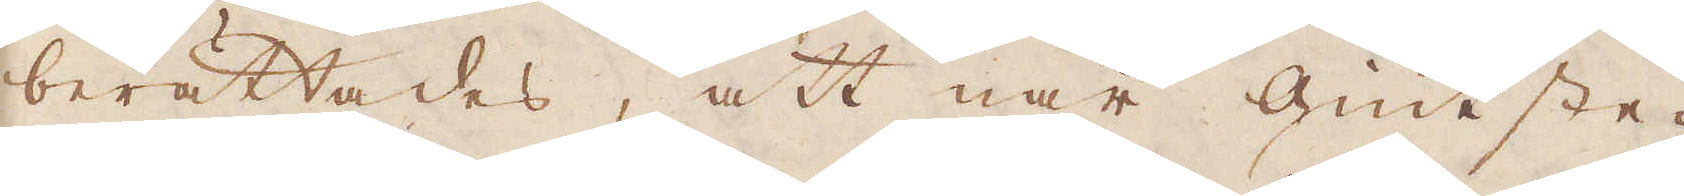berättades, att när Giut ste-
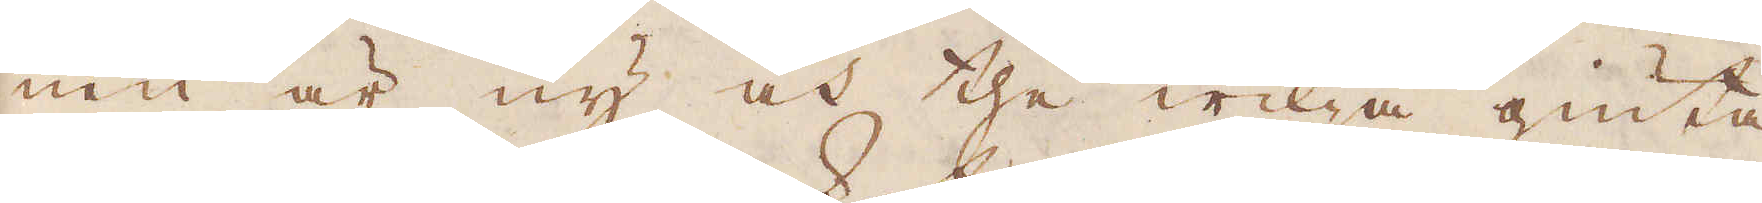nen är ny och the wilja giuta
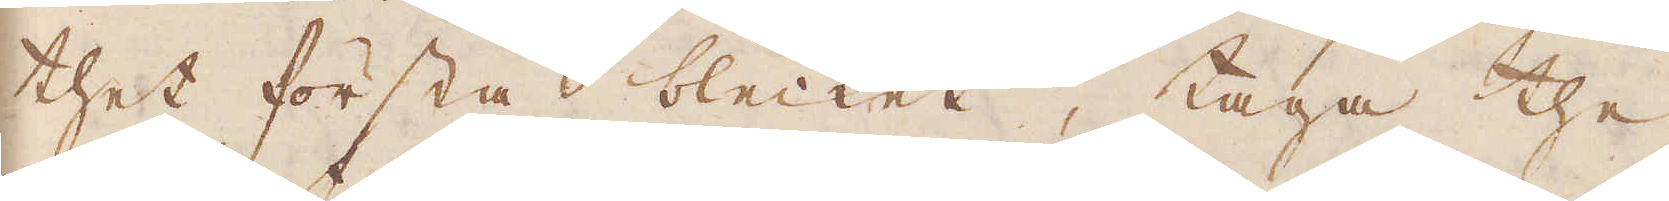thet första blecket, taga the
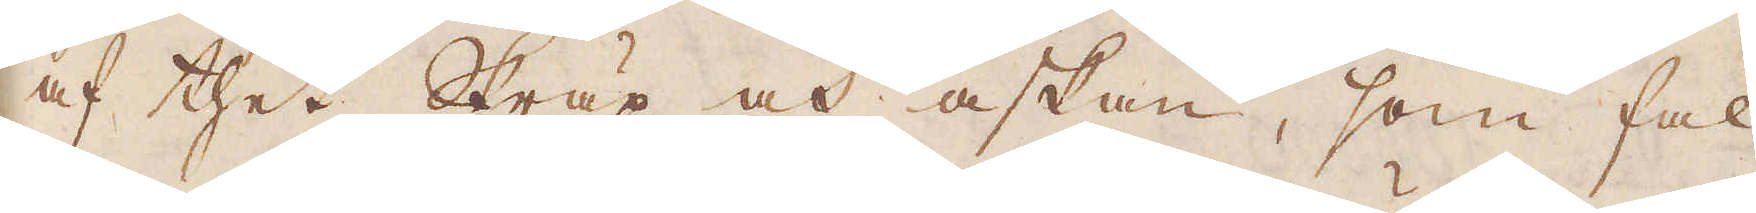af thet Skräp och askan, som fal-
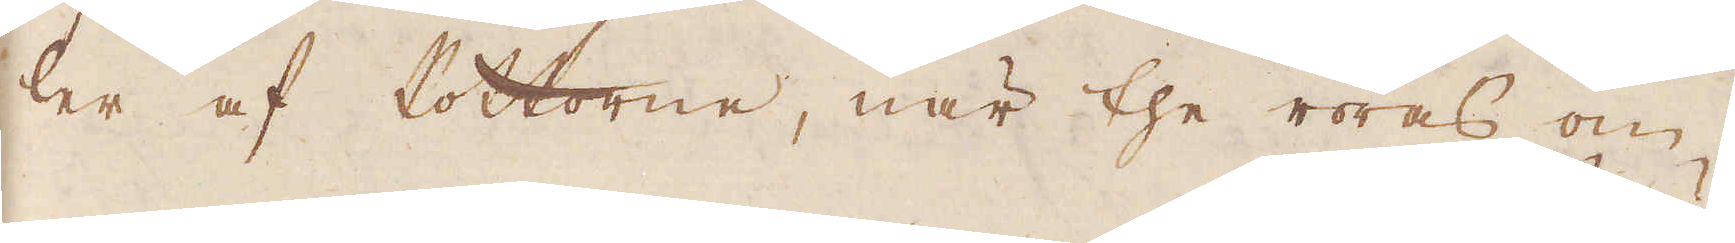ler af Pottorne, när the röres om,
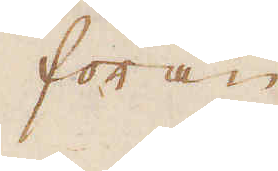förän
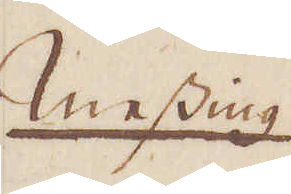Messing
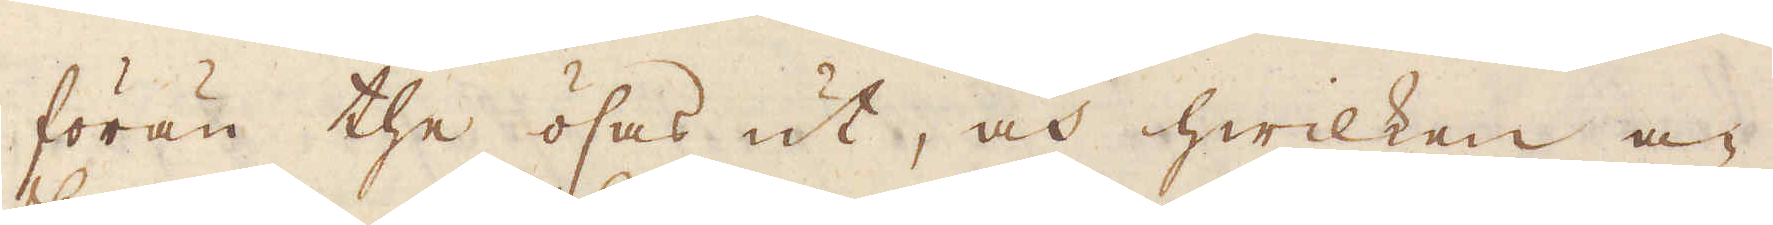förän the ösas ut, och hwilken a-
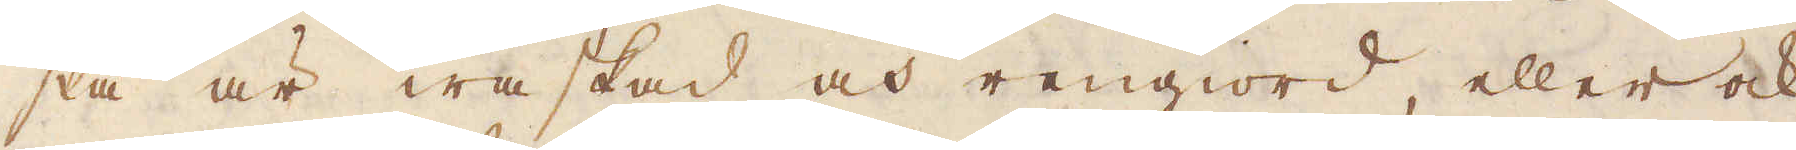ska är waskad och rengiord, eller ock
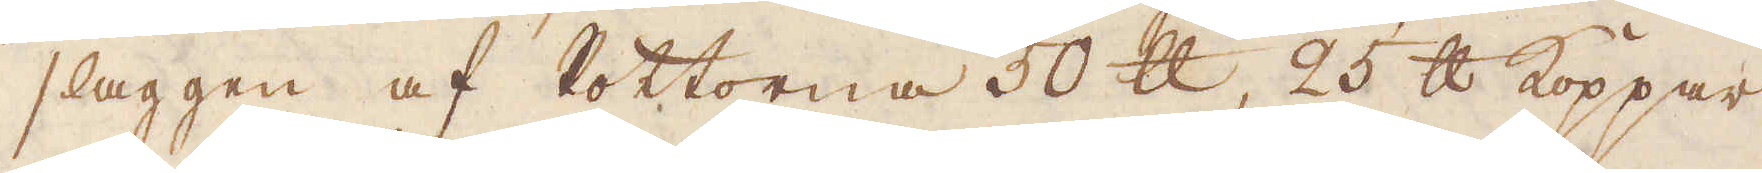slaggen af Pottorne 50 skålpund, 25 skålpund Koppar
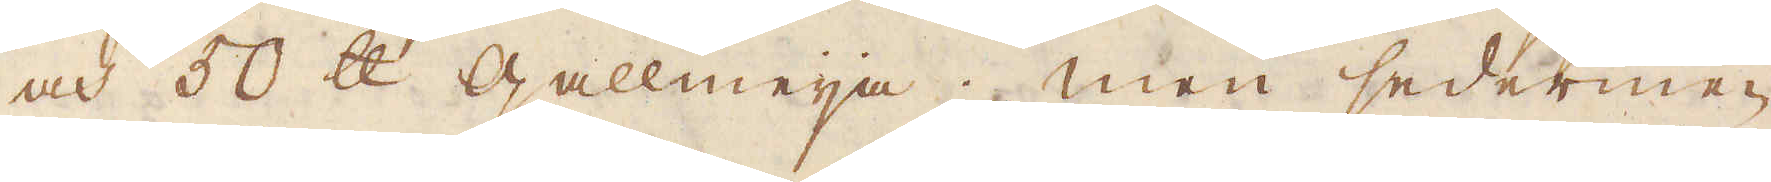och 50 skålpund Gallmeija; men sederme-
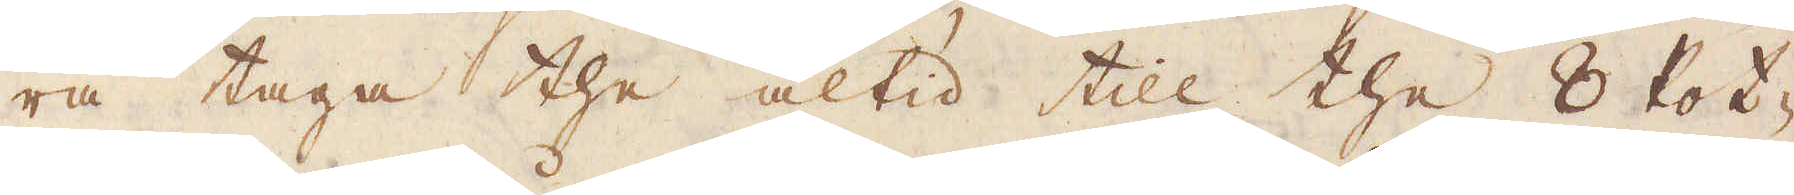ra taga the altid till the 8 Pot-
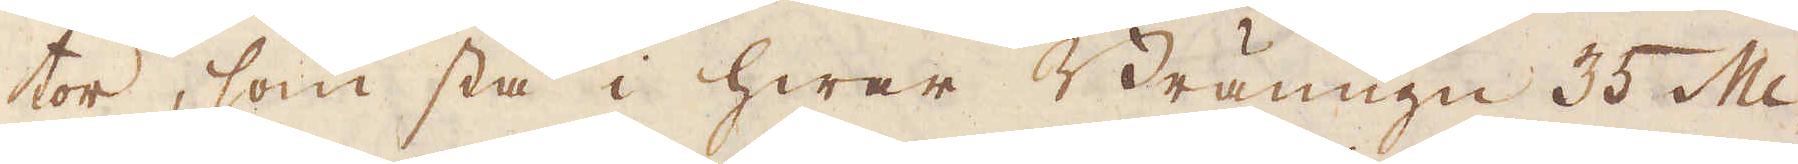tor, som stå i hwar Bränugn 35 Mi-
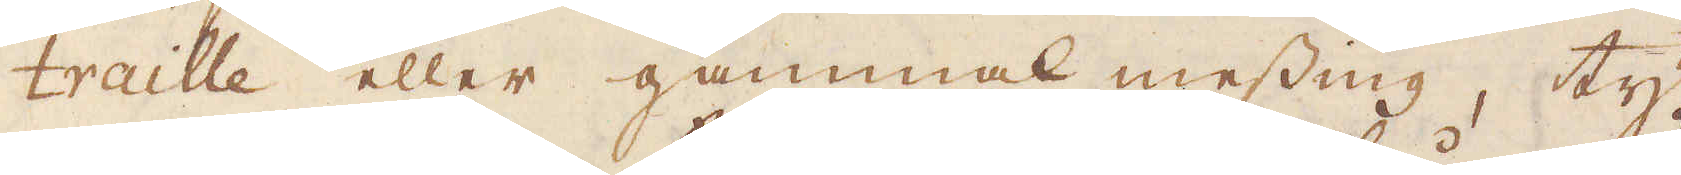traille eller gammal messing, ty
